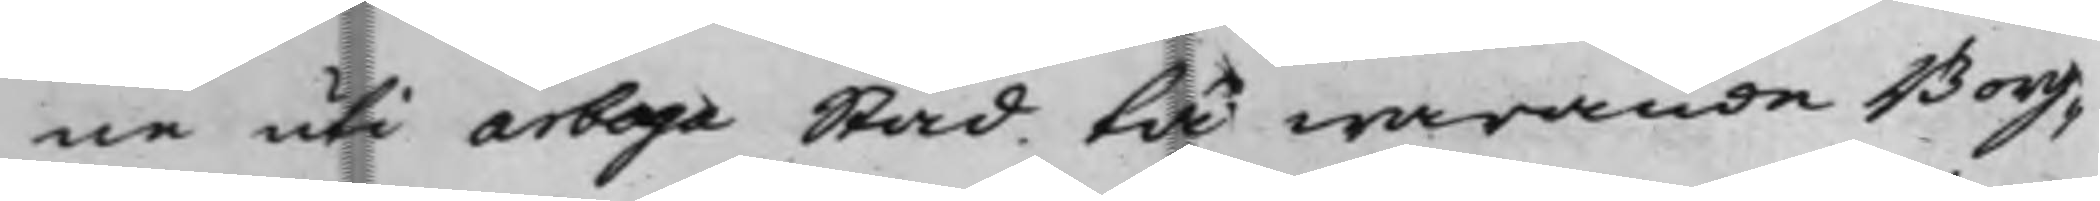ne uti Arboga Stad tå warande Borg¬
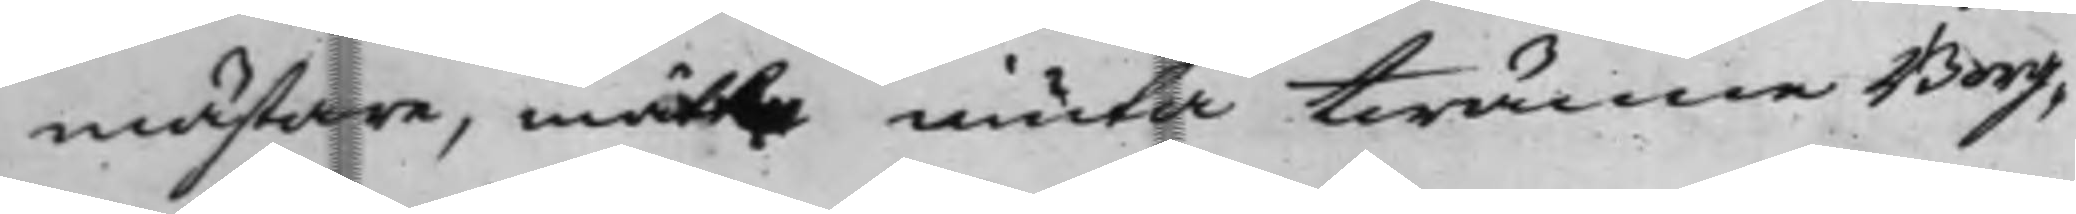mästare, måtte niuta twänne Borg¬
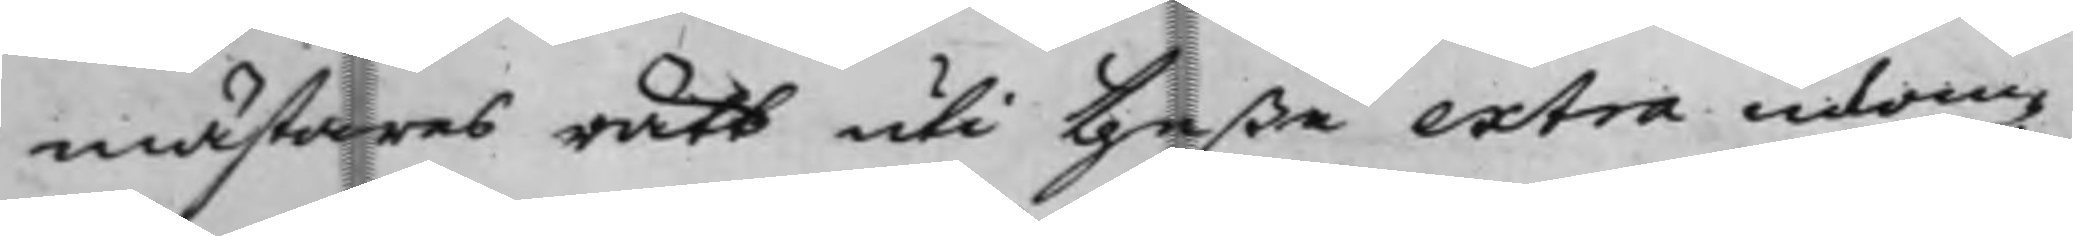mästares rätt uti theße extra inkom¬
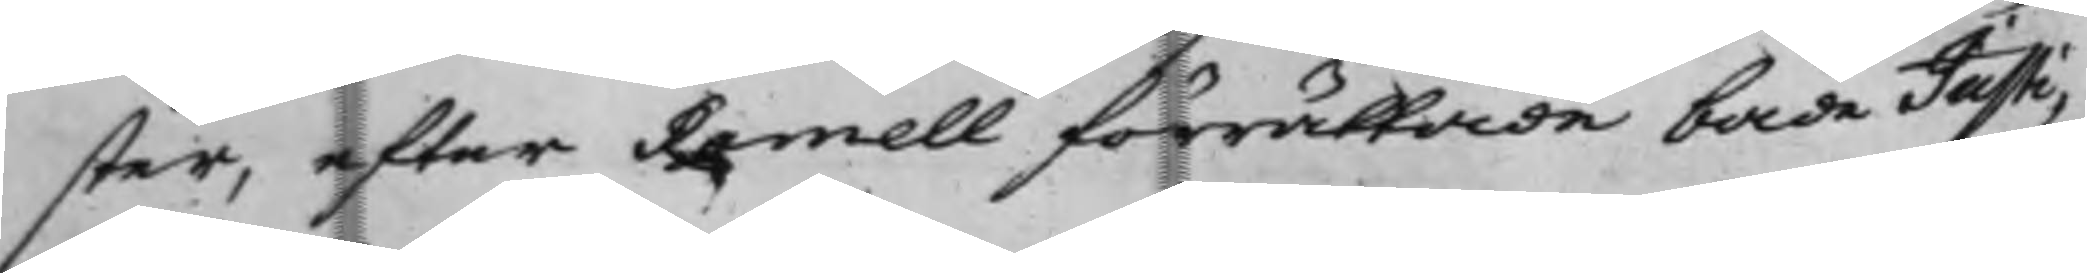ster, efter Ramell förrättade både Justi¬
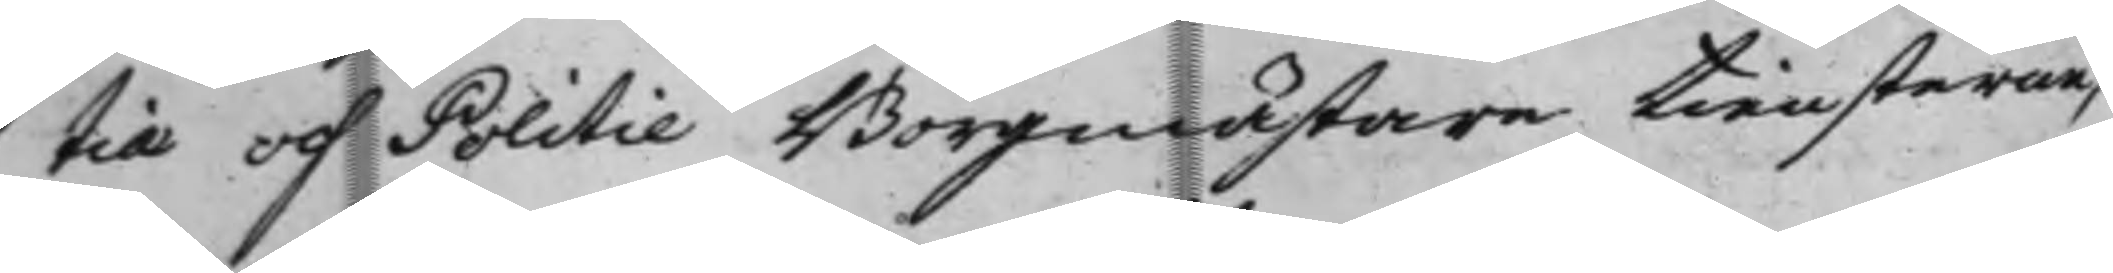tiæ och Politie Borgmästare tiensterne,
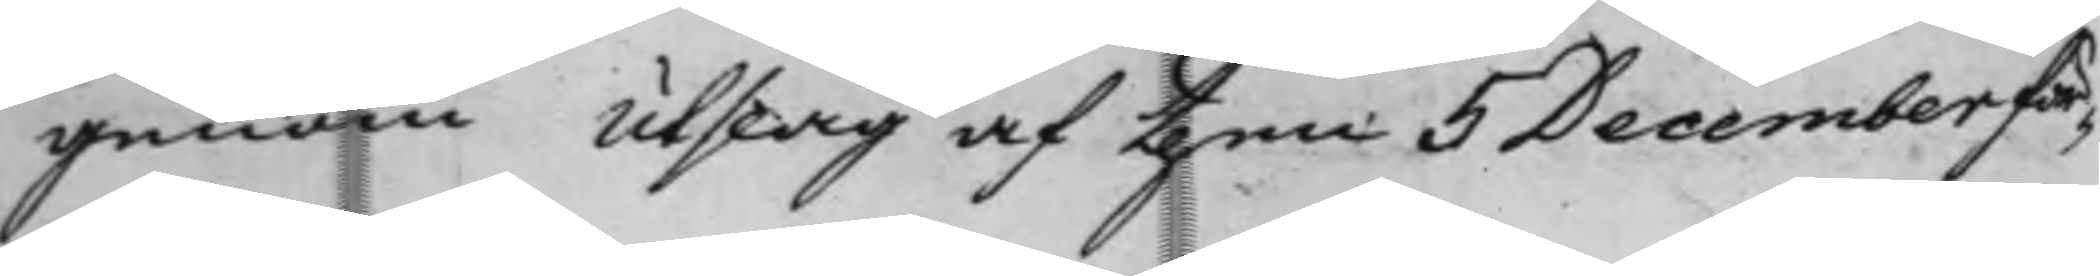genom Utslag af then 5 December för¬
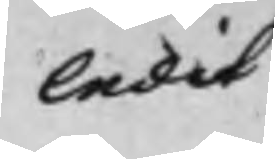ledit
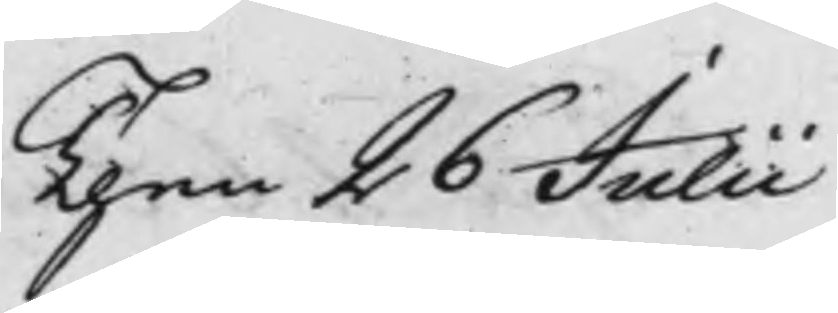Then 26 Julii
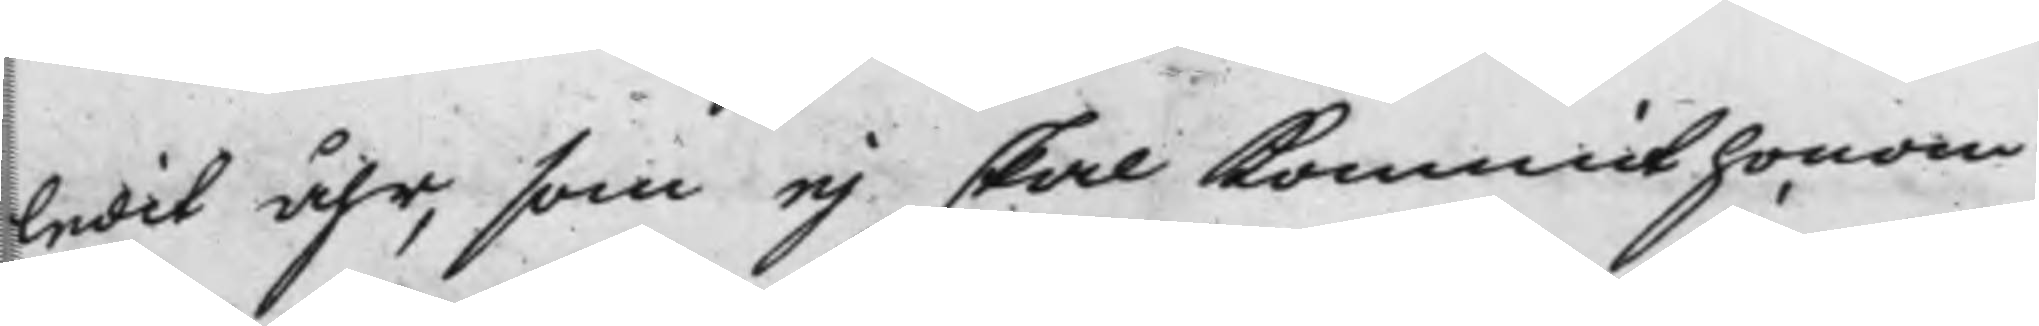ledit åhr, som ej skal kommit honom
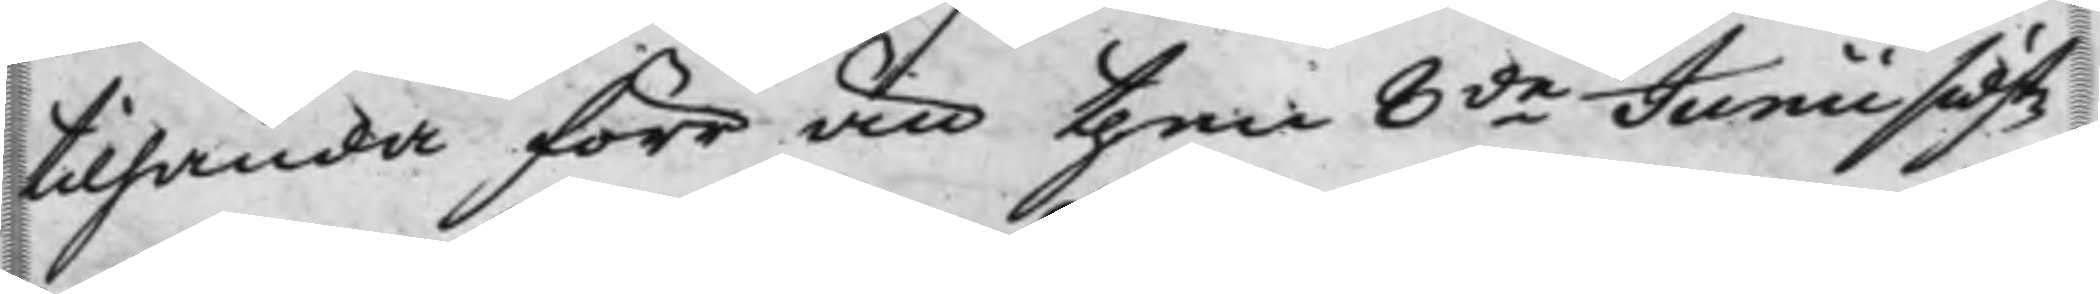tilhanda förr än then 8de Junii sidst¬
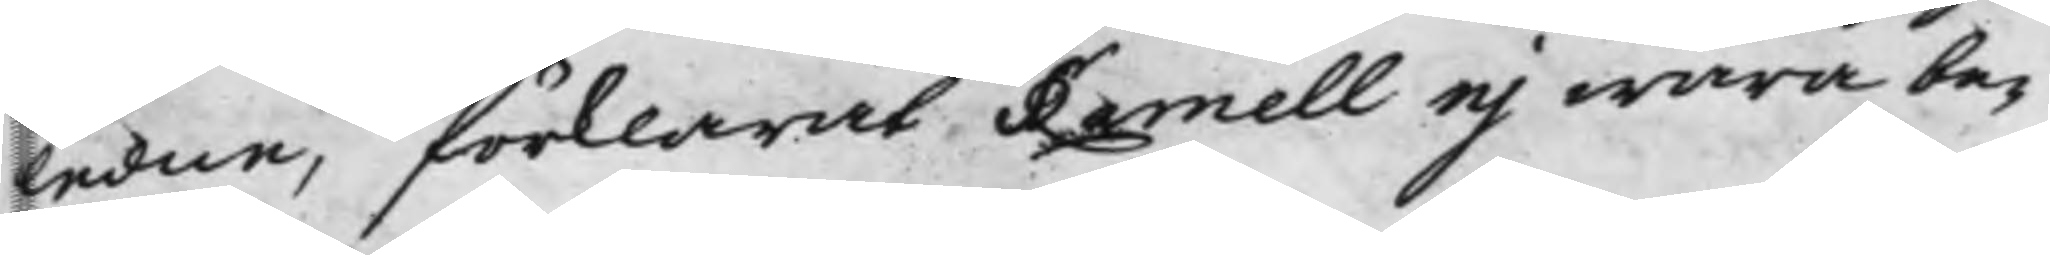ledne, förklarat Ramell ej wara be¬
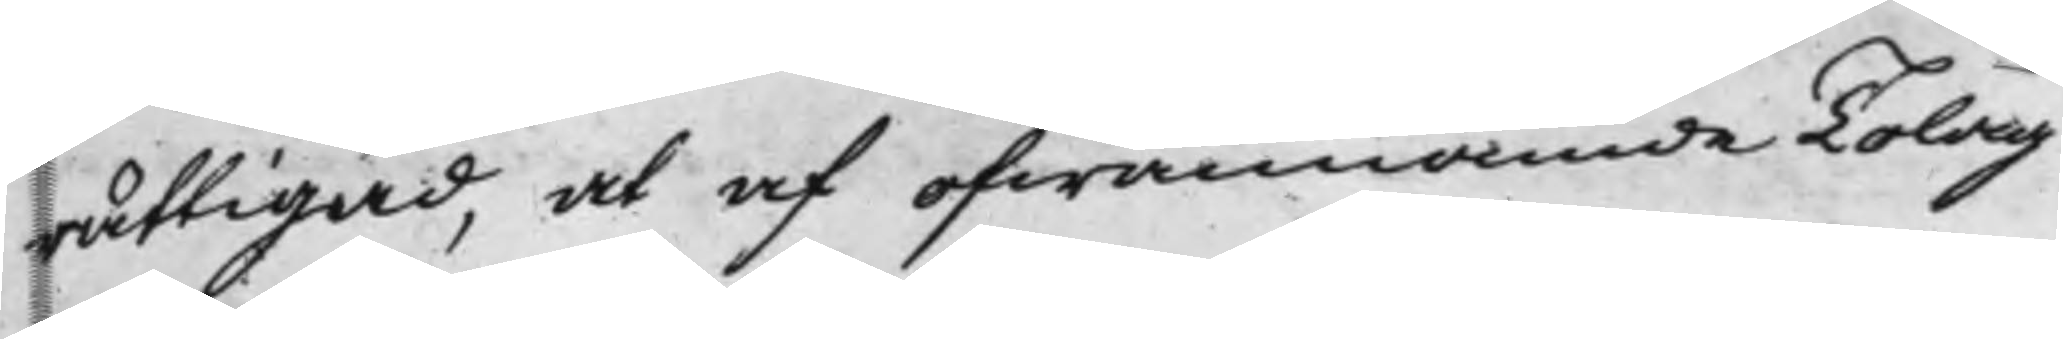rättigad, at af ofwannämde Tolag
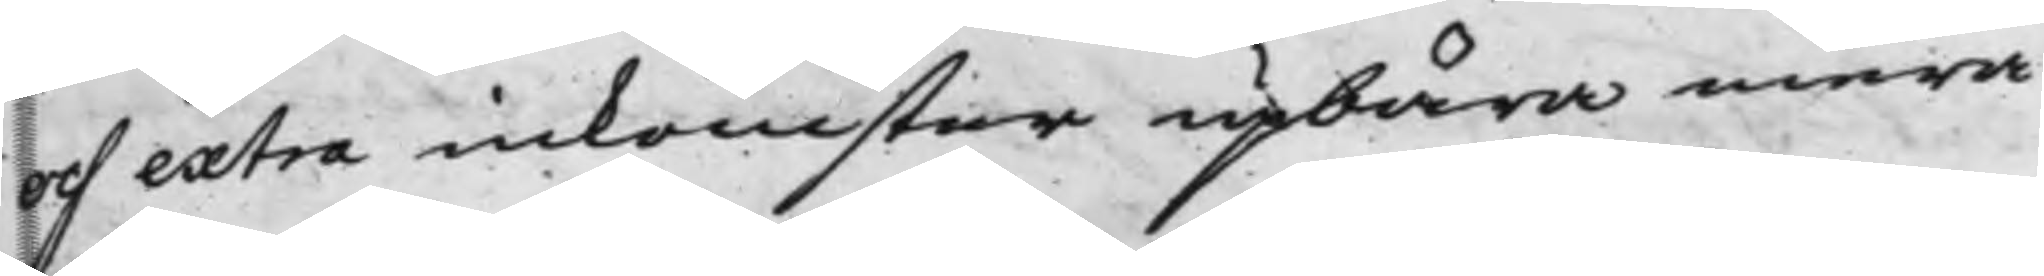och extra inkomster upbära mera
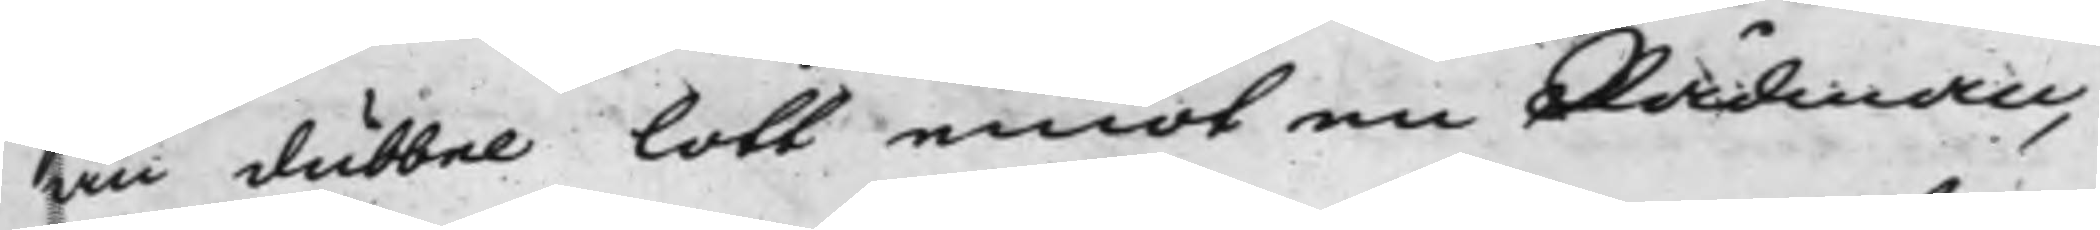än dubbel lott emot en Rådman,
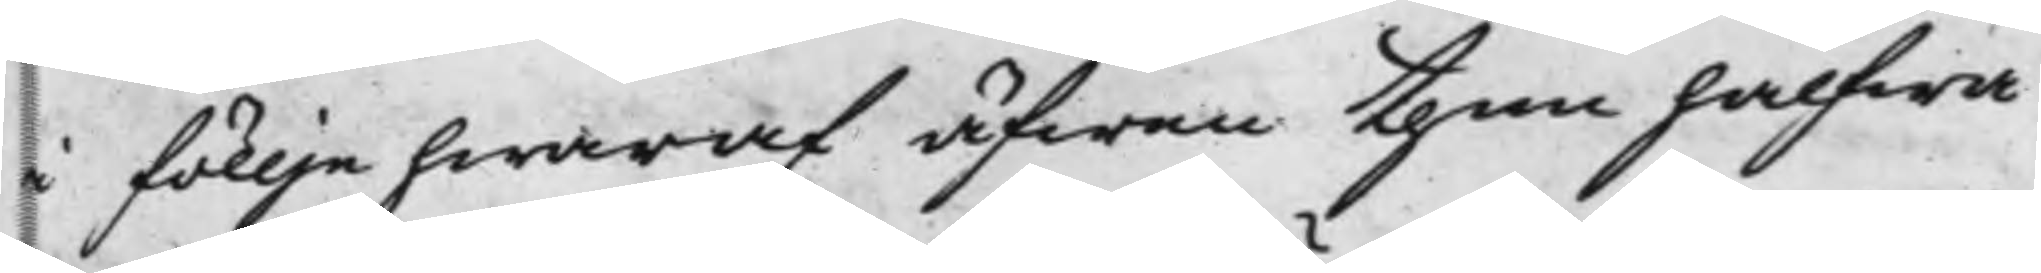i föllje hwaraf äfwen then halfwa
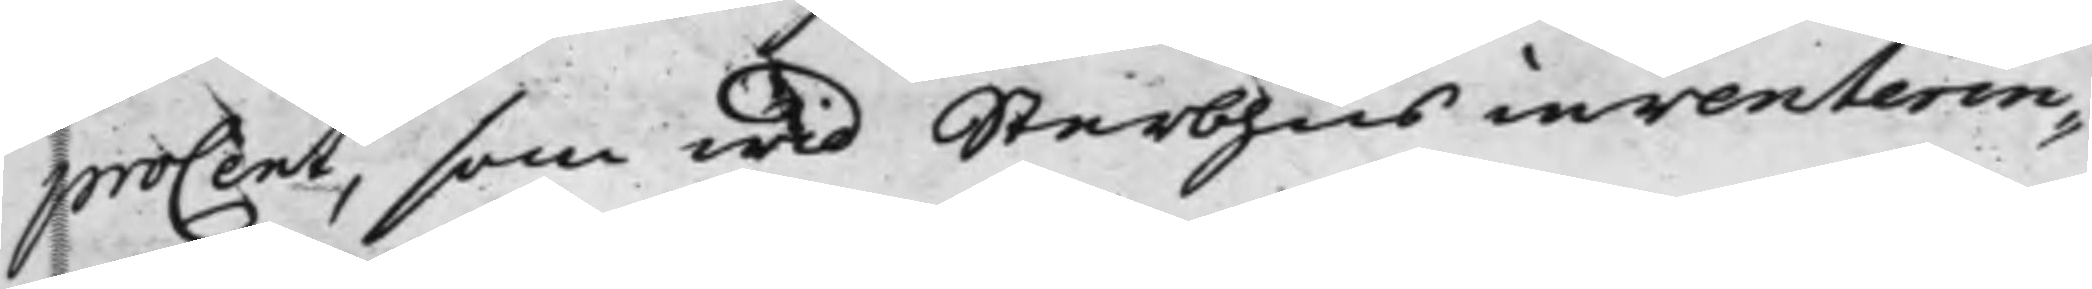proCent, som wid Sterbhus inventerin¬
